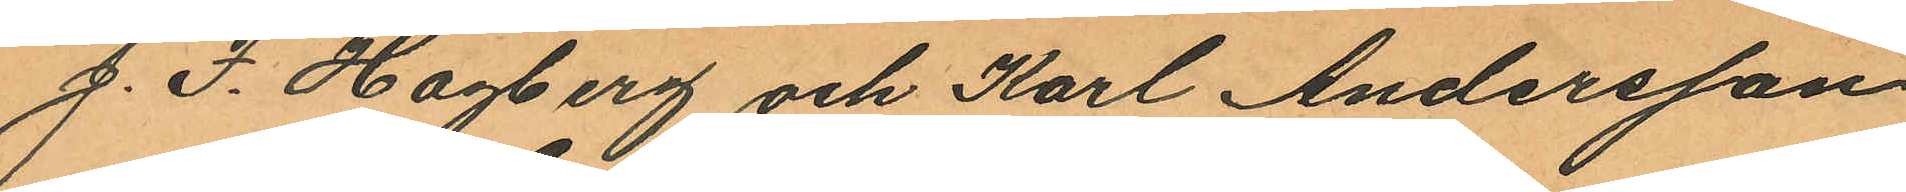J. F. Hagberg och Karl Andersson
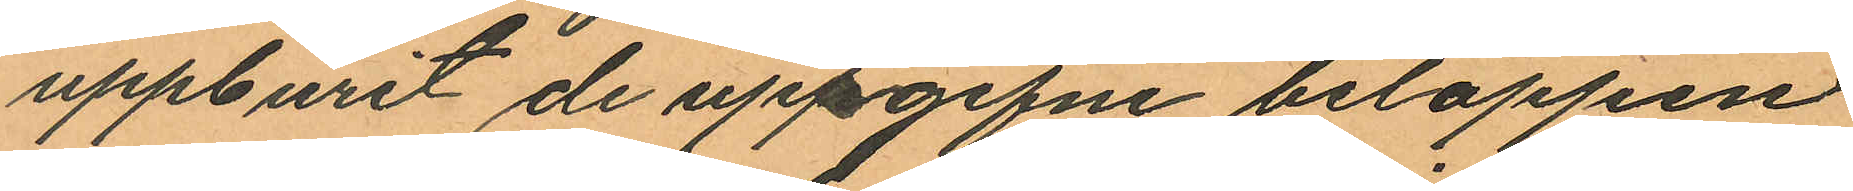uppburit de uppgifne beloppen
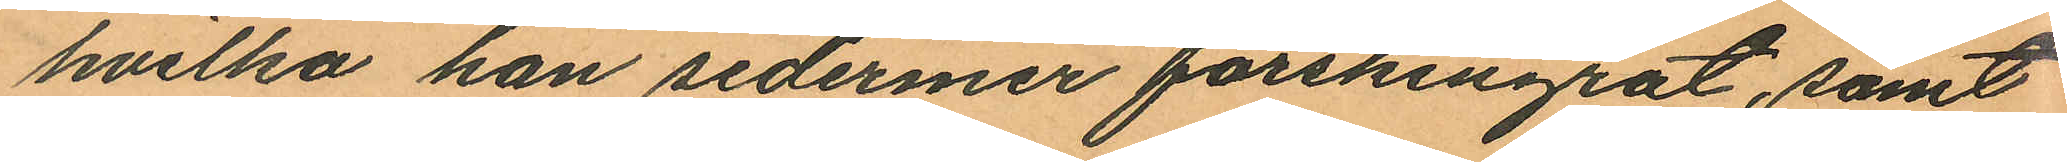hvilka han sedermer förskingrat, samt
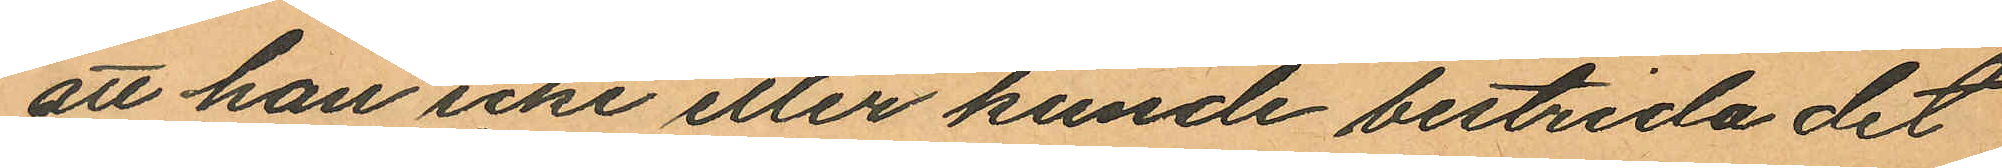att han icke eller kunde bestrida det
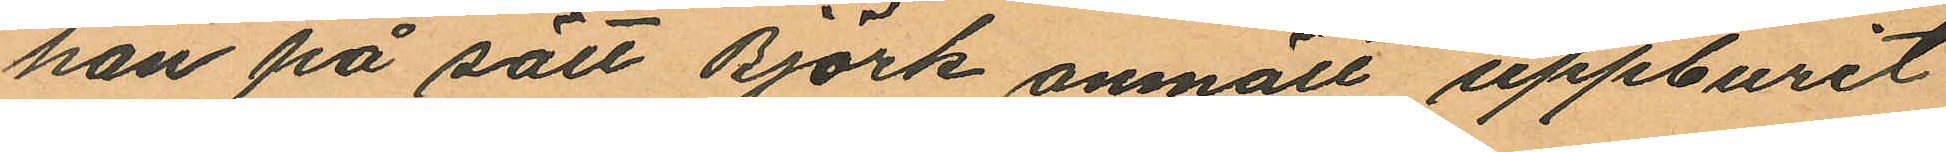han på sätt Björk anmält uppburit
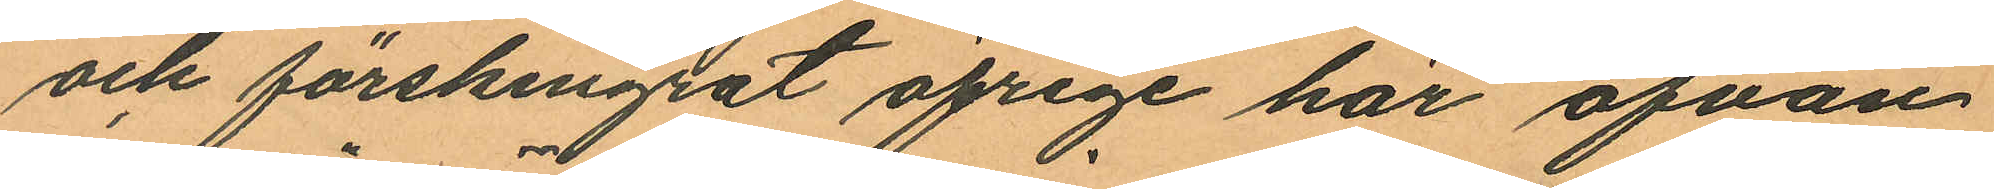och förskingat öfrige har ofvan
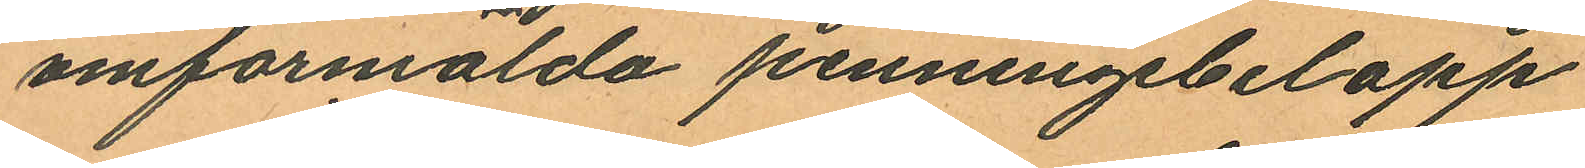omförmälda penningebelopp.
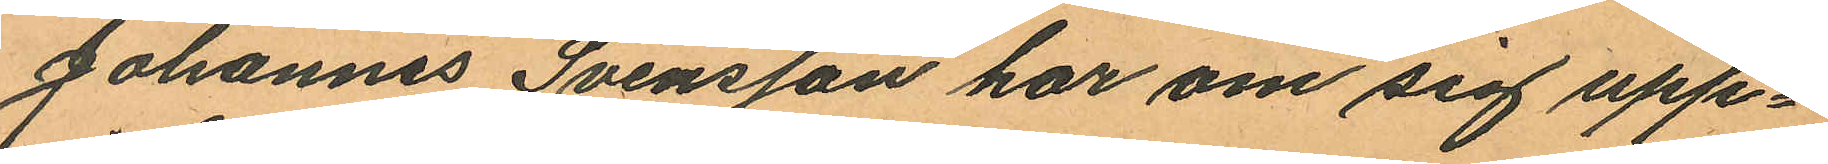Johannes Svensson har om sig upp¬
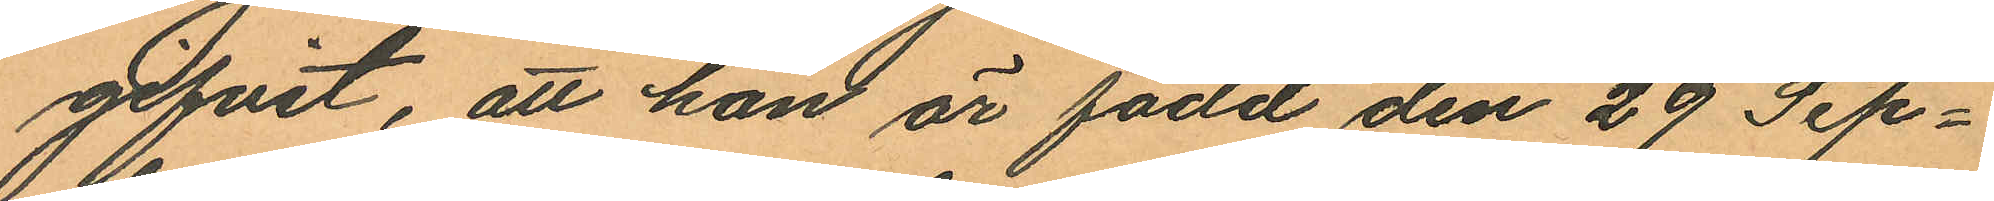gifvit, att han är född den 29 Sep¬
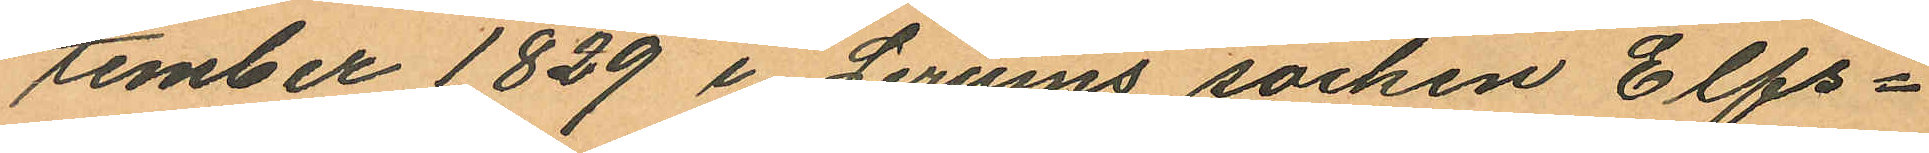cember 1829 i Lerums socken Elfs¬
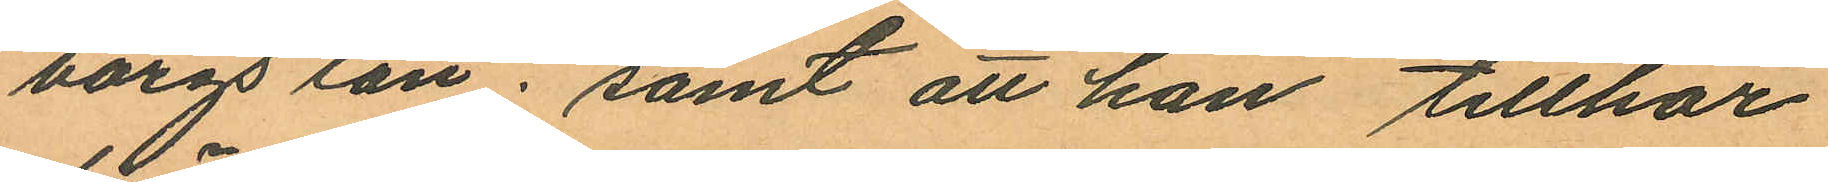borgs län; samt att han tillhör
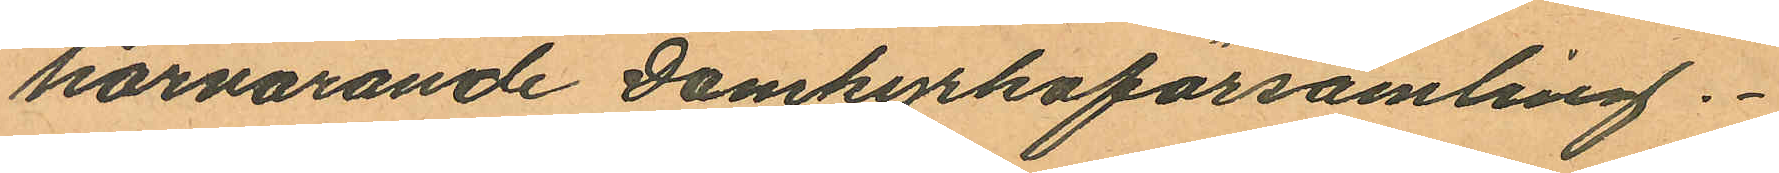härvarande Domkyrkoförsamling.
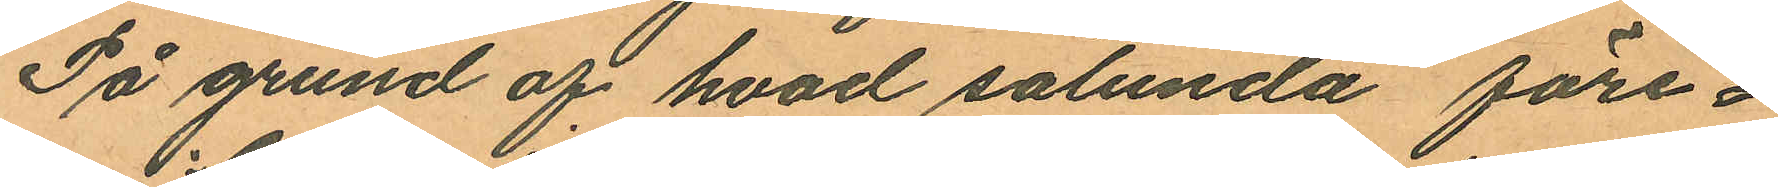På grund af hvad sålunda före¬
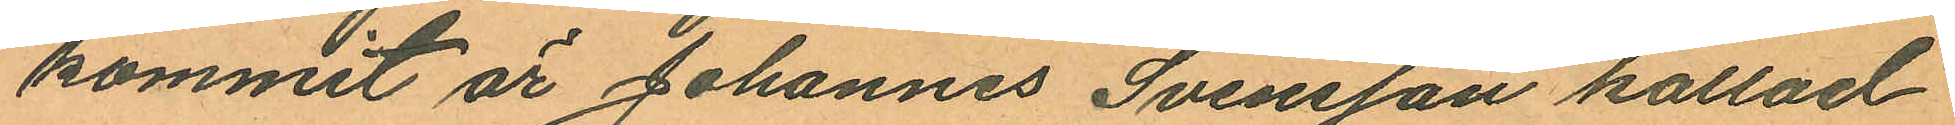kommit är Johannes Svensson kallad
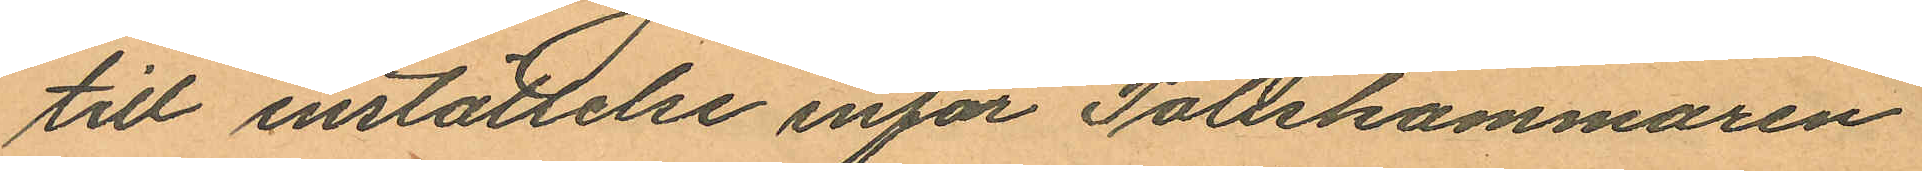till inställelse inför Poilskammaren
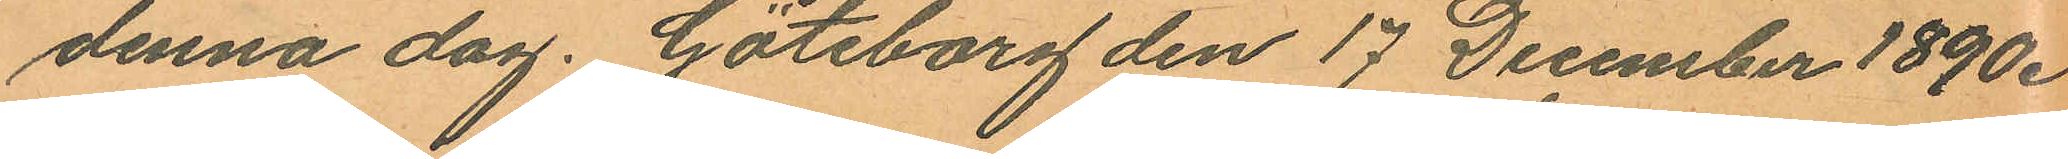denna dag. Göteborg den 17 December 1890.
